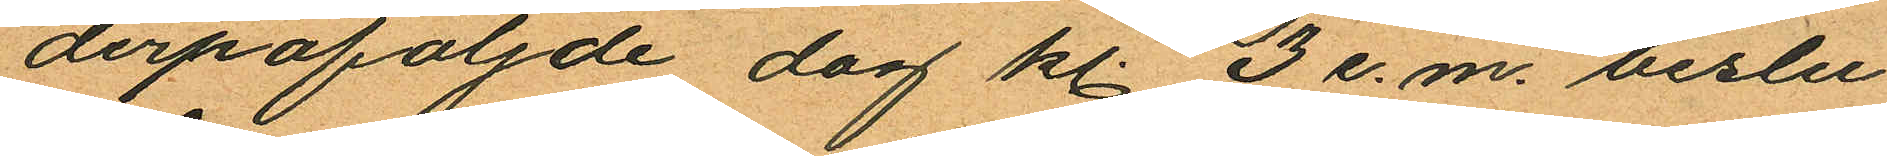derpåföljnde dag kl. 3 e.m. beslu¬
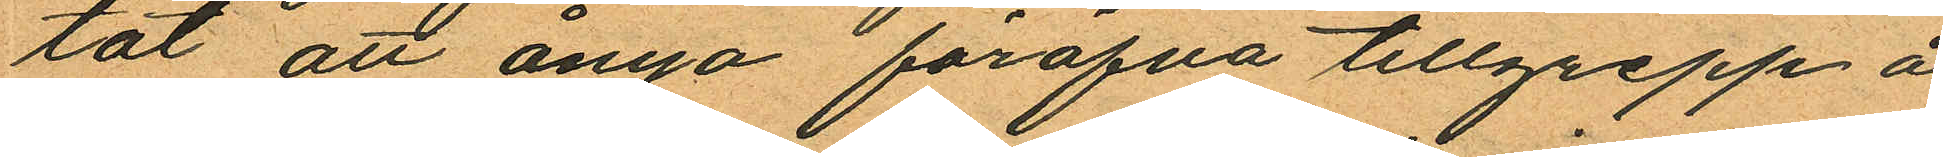tat att ånyo föröfva tillgrepp å
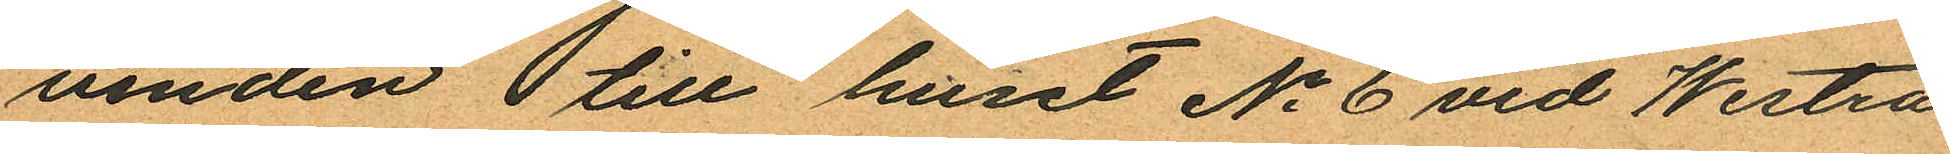vinden  till huset No 6 vid Westra
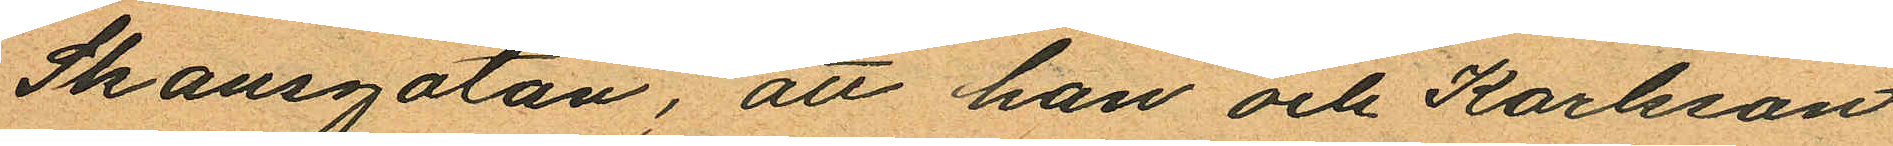Skansgatan; att han och Karlsson
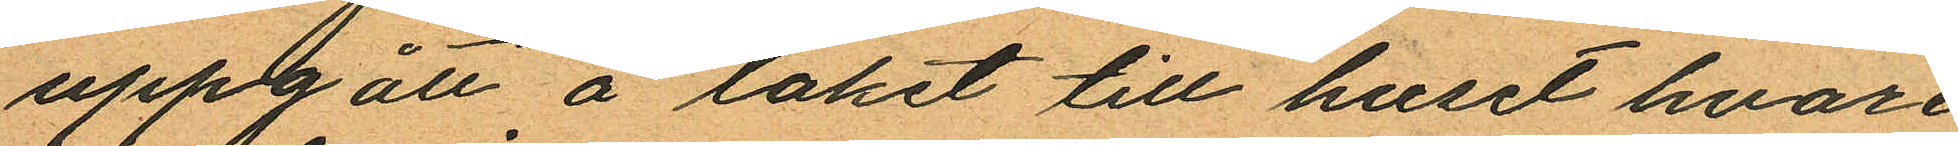uppgått å taket till huset hvare
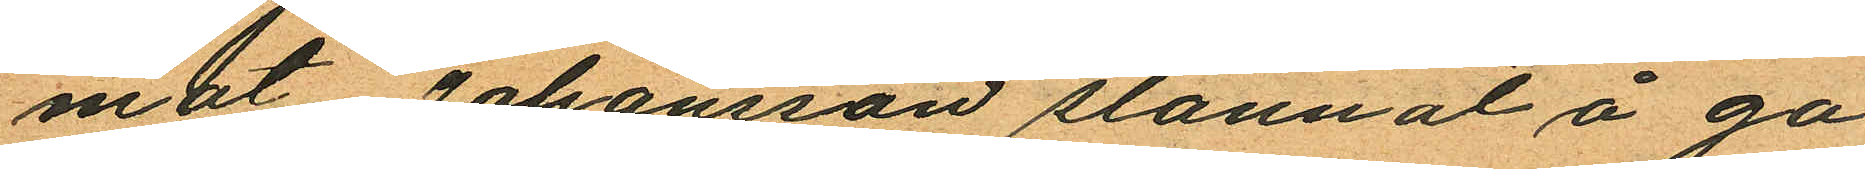mot Johansson stannat å ga¬
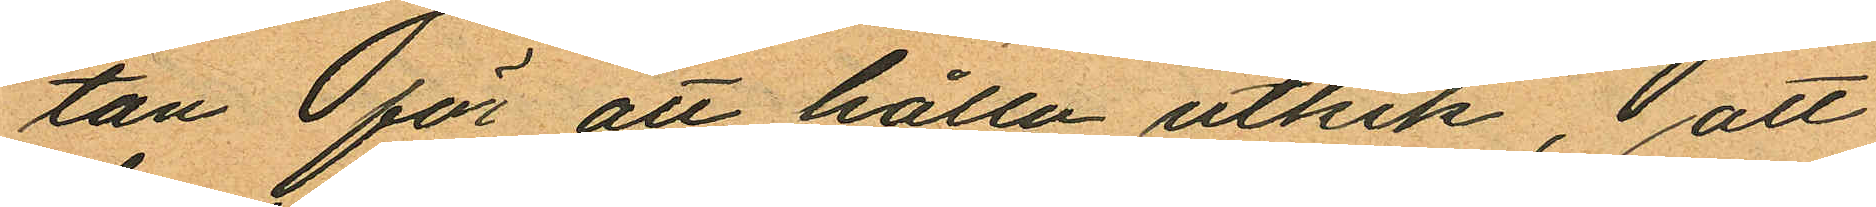tan för att hålla utkik, att
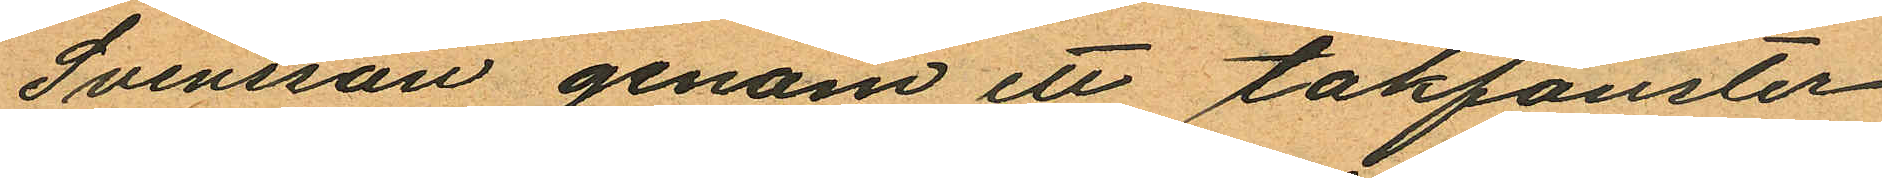Svensson genom ett takfönster
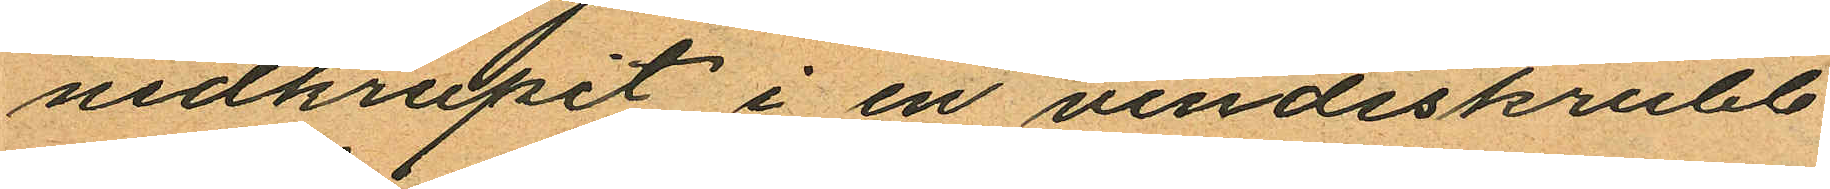nedkrupit i en vindsskrubb
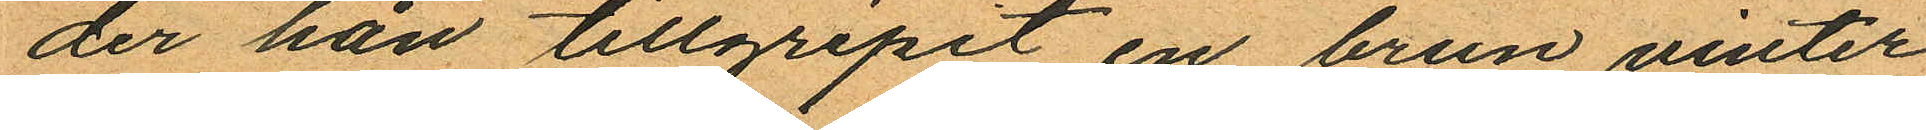der han tillgripit en brun vinter¬
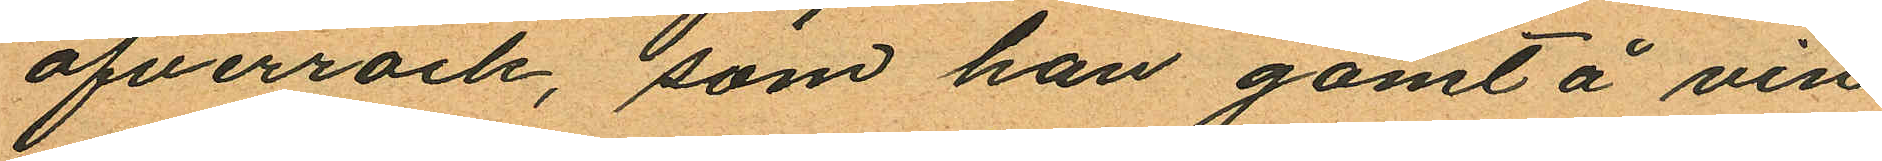öfverrock, som han gömt å vin¬
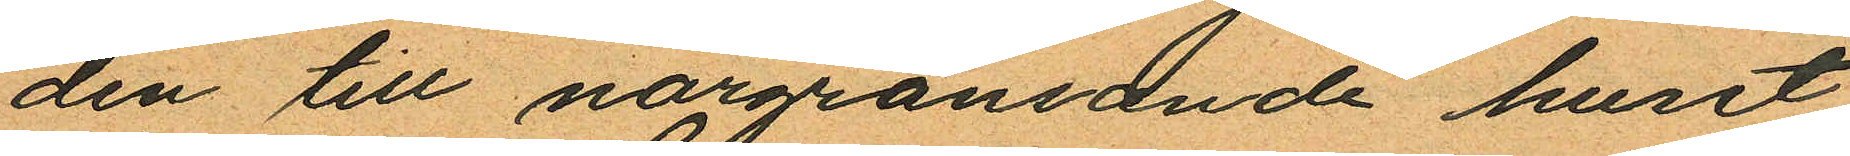den till nargränsande huset
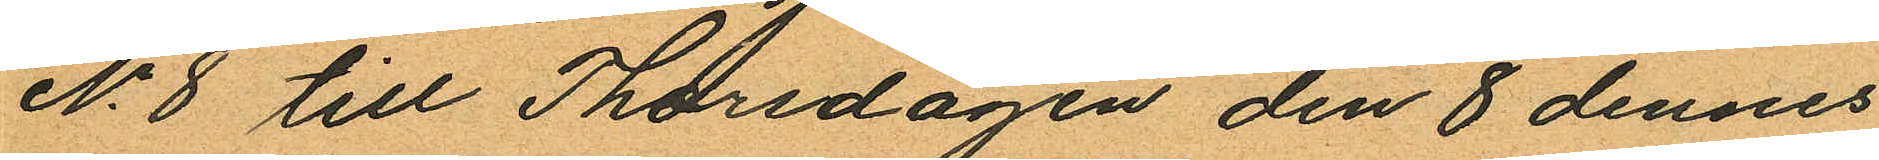No 8 till Thorsdagen den 8 dennes
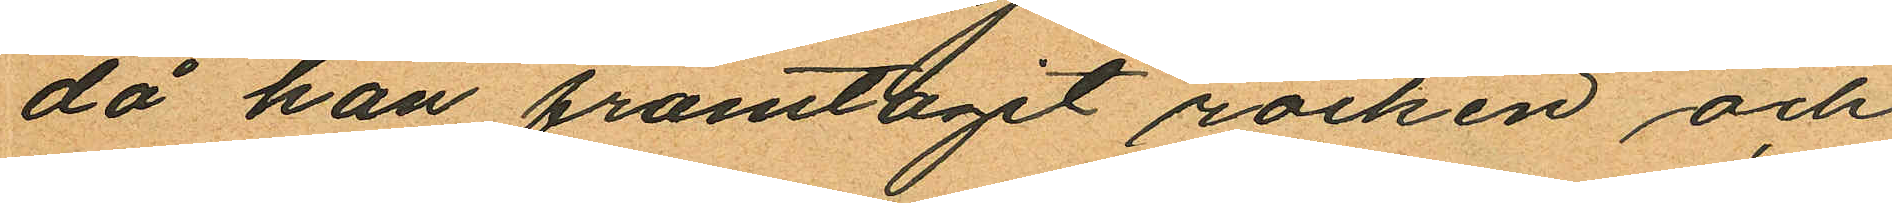då han framtagit rocken och
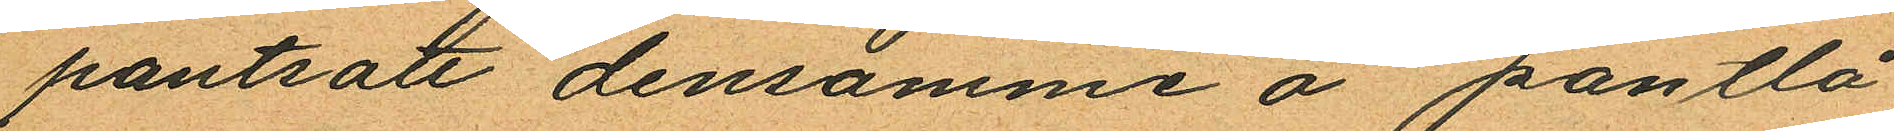pantsatt densamme å pantlå¬
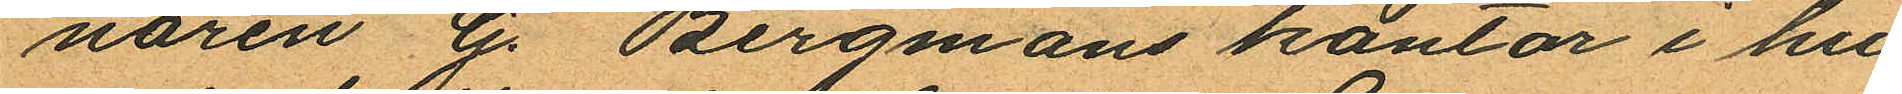naren G. Bergmans kontor i hu¬
